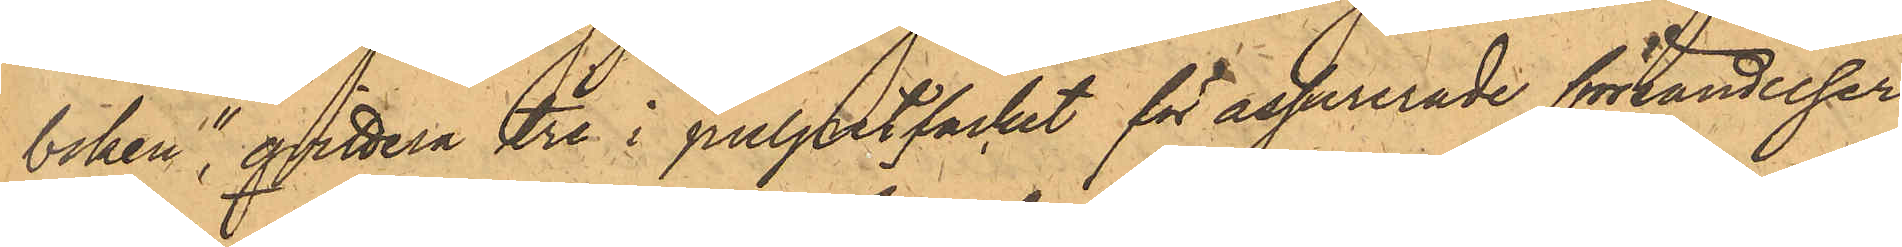boken", qvittera tre i pulpetfacket för assurerade försändelser
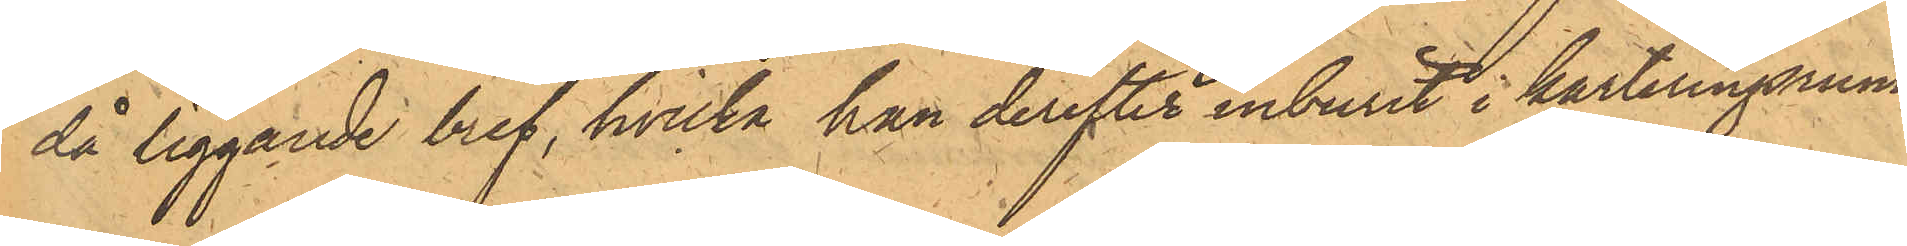då liggande bref, hvilka han derefter inburit i karteringsrum¬
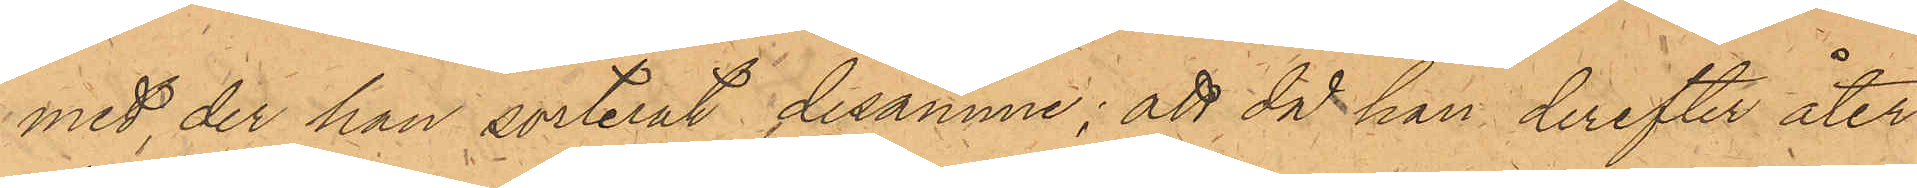met, der han sorterat desamme; att då han derefter åter¬
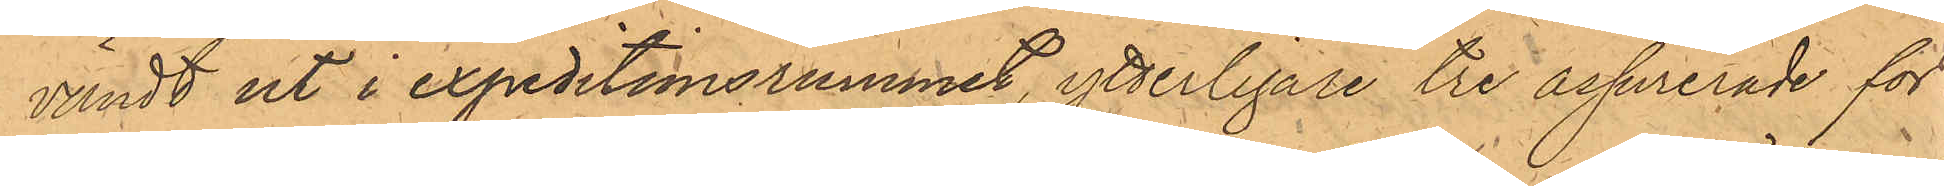vändt ut i expeditionsrummet, ytterligare tre assurerade för¬
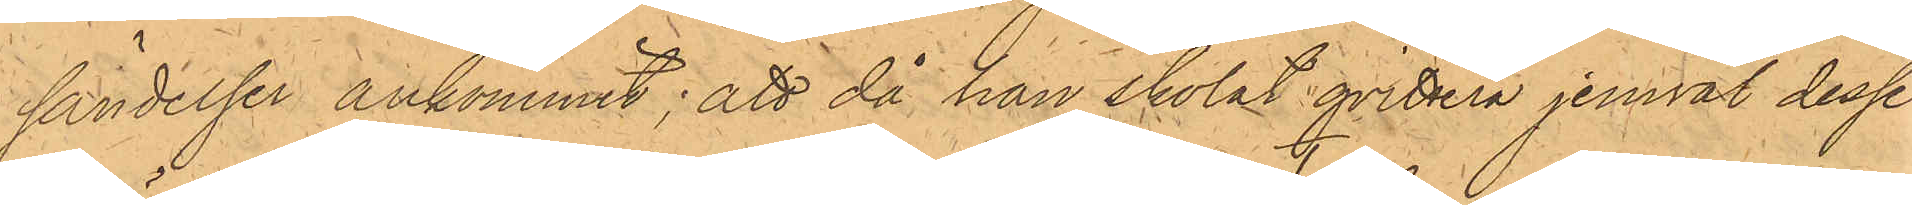sändelser ankommit; att då han skolat qvittera jemväl desse i
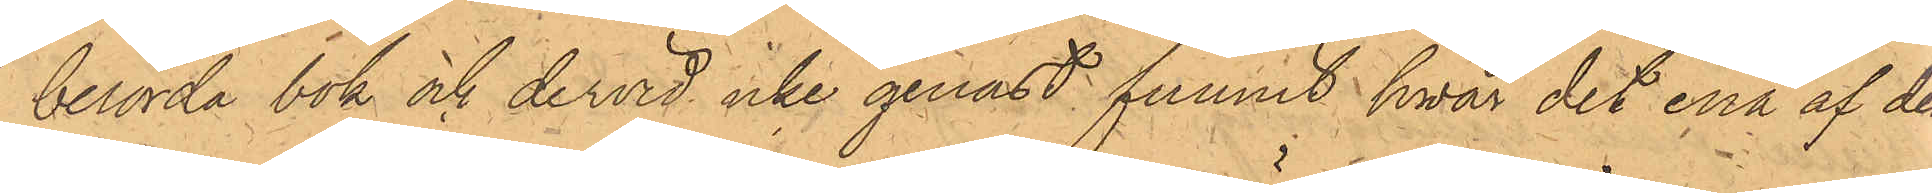berörda bok och dervid icke genast funnit hvar det ena af dem
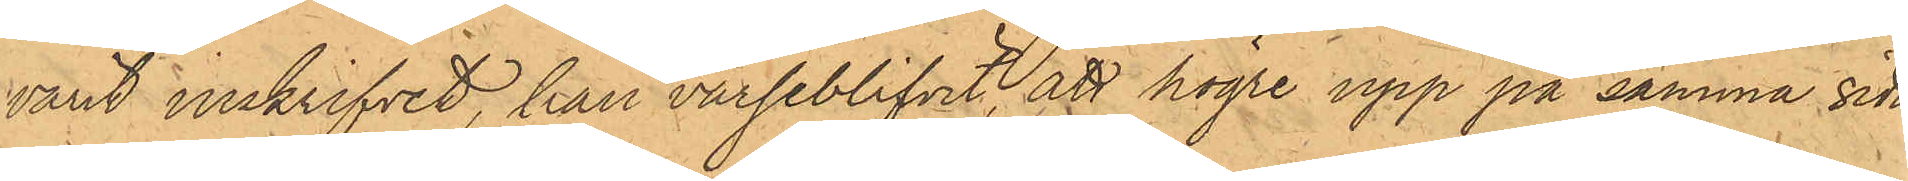varit inskrifvet, han varseblifvit, att högre upp på samma vida
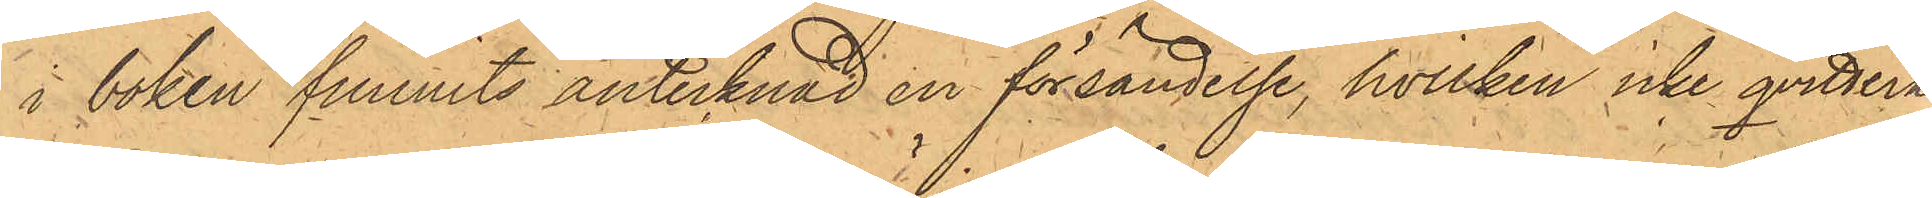i boken funnits antecknad en försändelse, hvilken icke qvitterats;
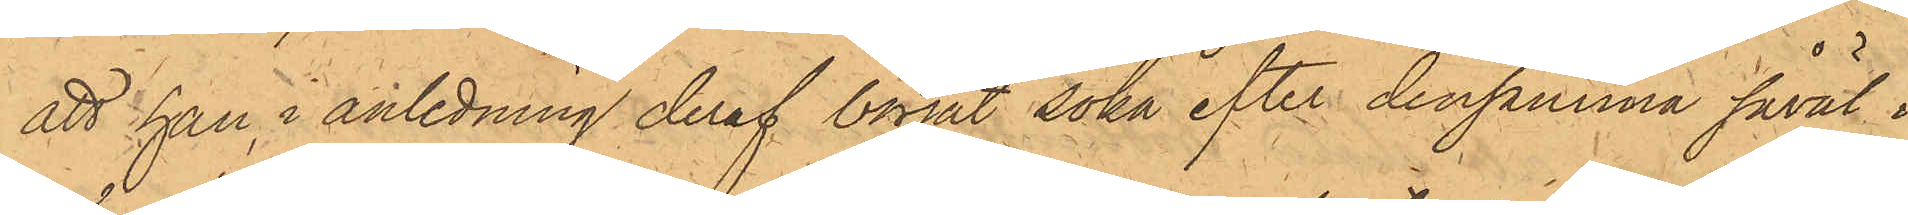att han i anledning deraf börjat söka efter densamma såväl i
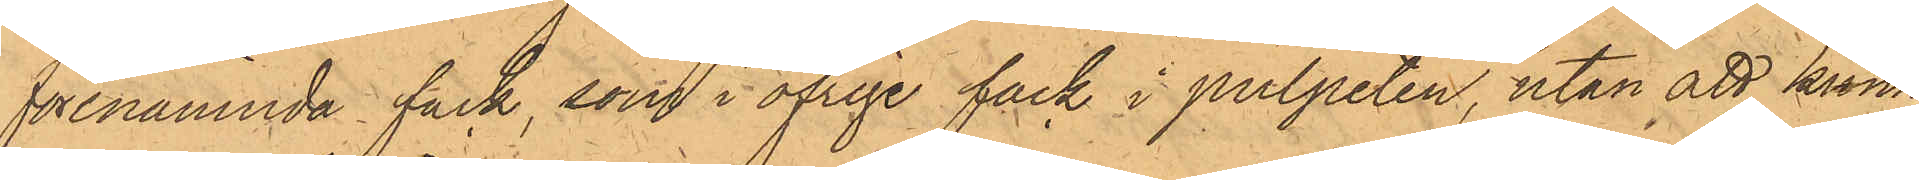förenämnda fack, som i öfrige fack i pulpeten, utan att kunna
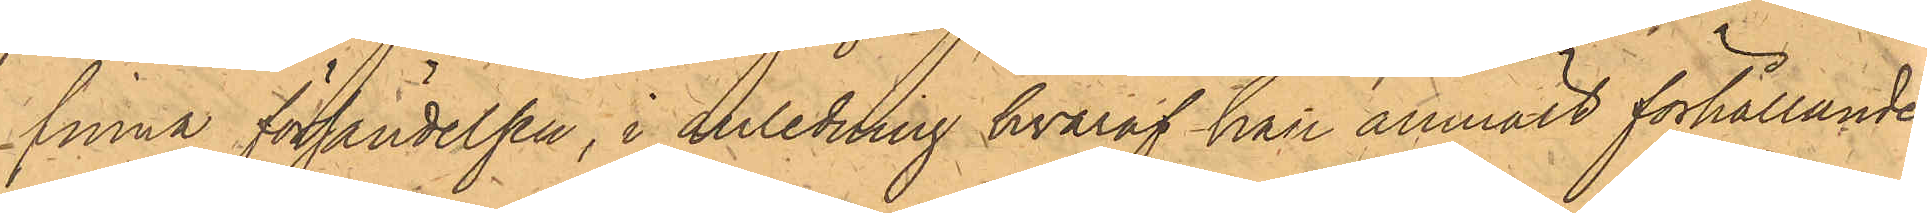finna försändelsen, i anledning hvaraf han anmält förhållandet
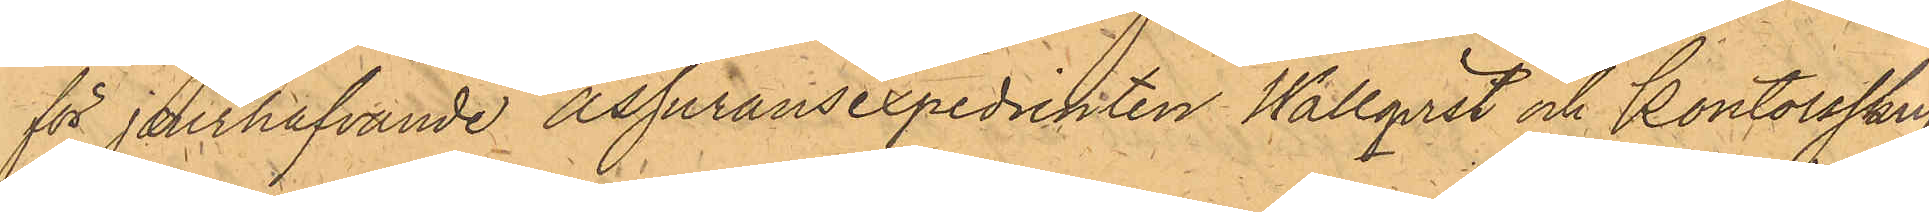för jourhafvande assuransexpedienten Wallqvist och Kontorsskrif¬
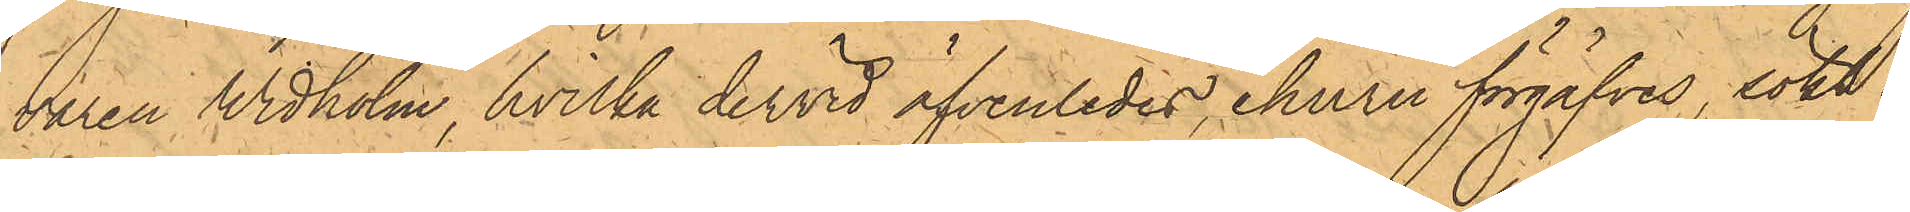varen Widholm, hvilka dervid äfvenledes, ehuru förgäfves, sökt er¬
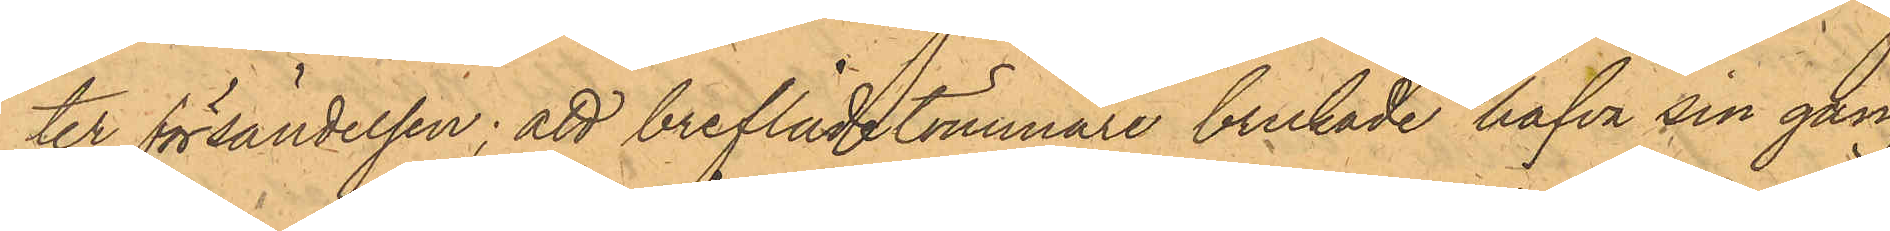ter försändelsen; att breflådetömmare brukade hafva sin gång
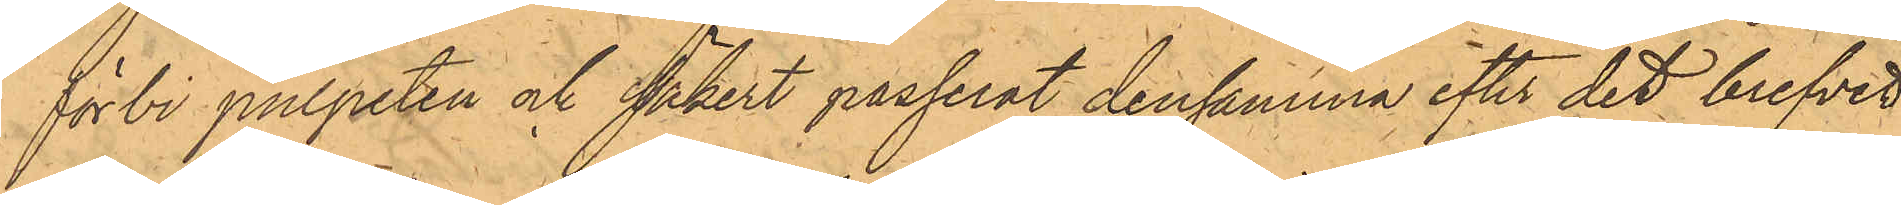förbi pulpeten och säkert passerat densamma efter det brefvet
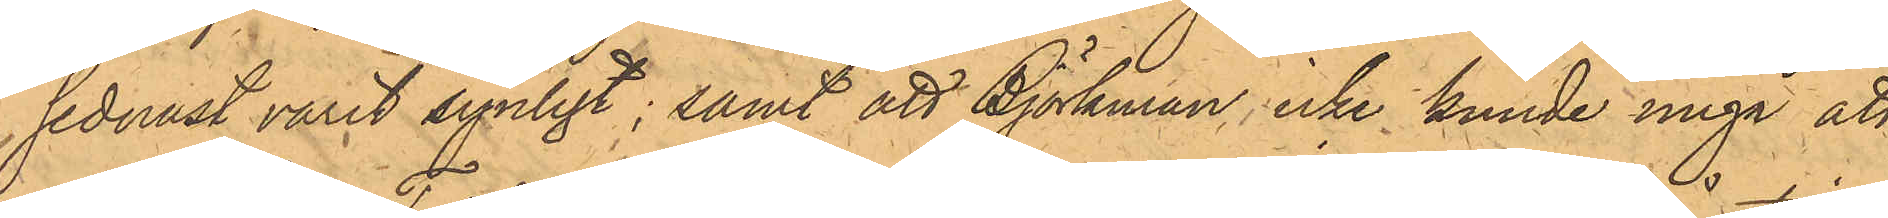sednast varit synligt; samt att Björkman, icke kunde ungå att
